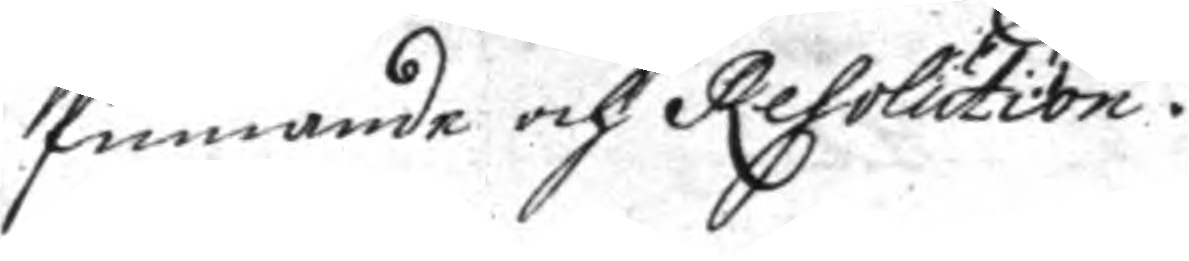finnande och Resolution.
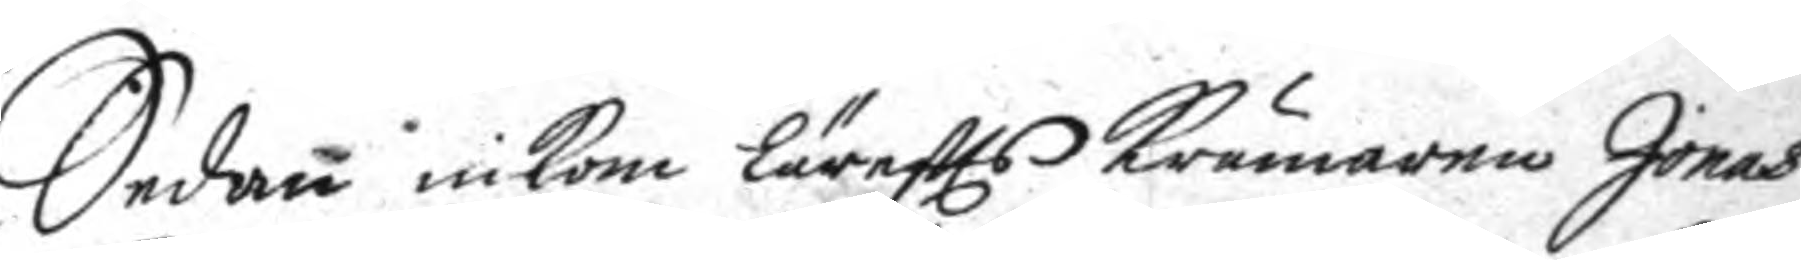Sedan inkom Lärefts krämaren Jonas
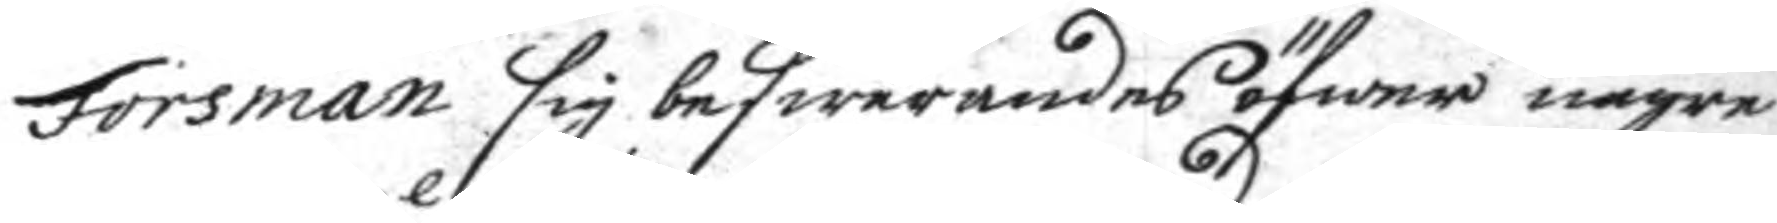Forsman sig beswärandes öfwer någre
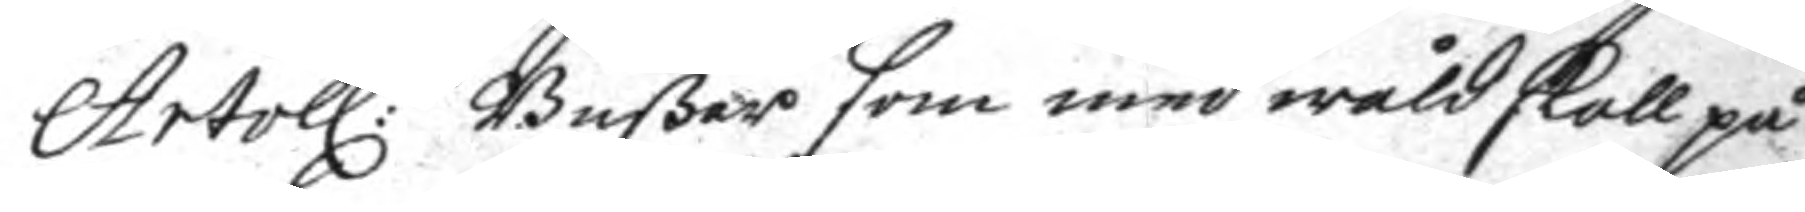Artoll:e Bußar som med wåld skall på
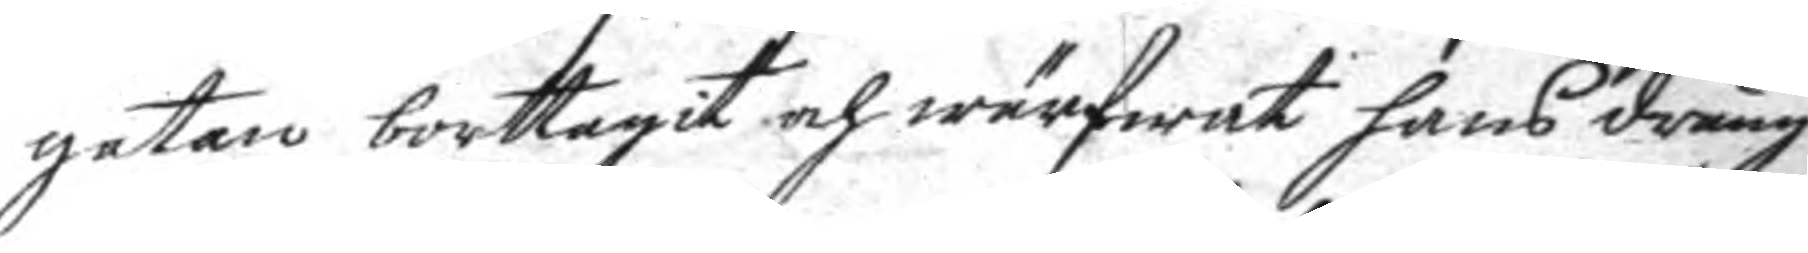gata borttagit och wärfwat hans dräng
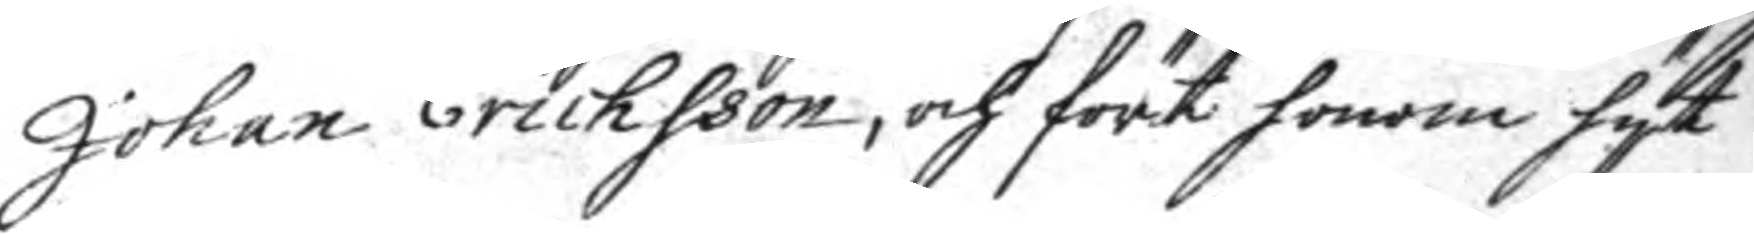Johan Erichsson, och fört honom hyt
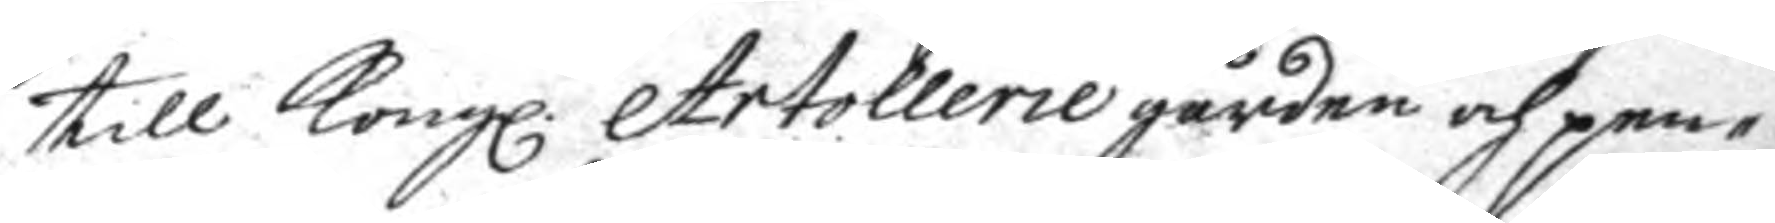till Kongl. Artollerie gården och pen¬
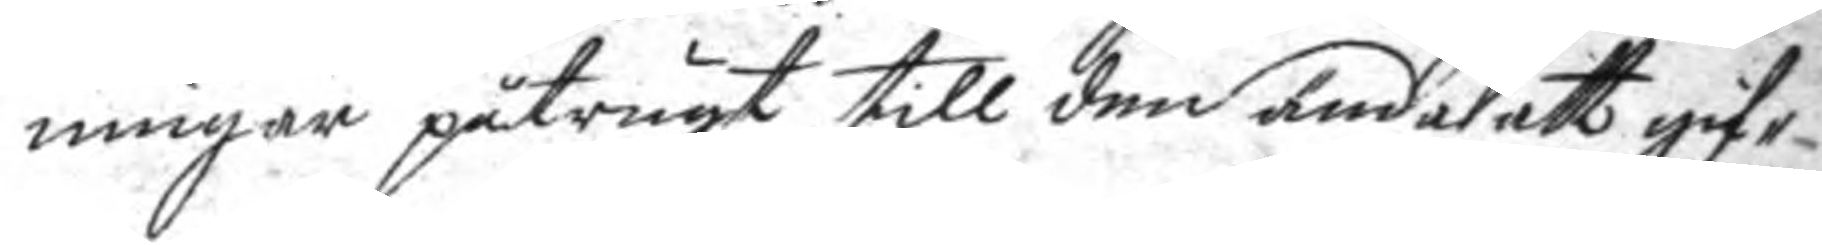ningar påtrugt till den ända att gif¬
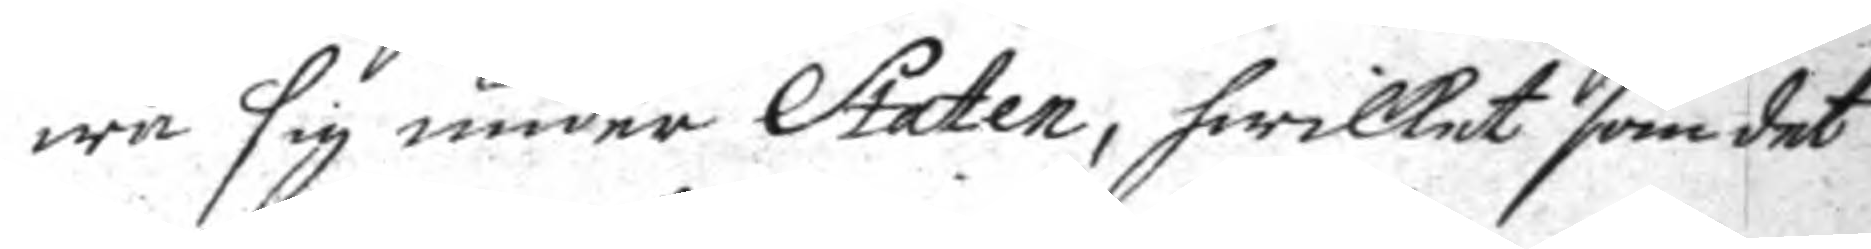wasig under Staten, hwilket som det
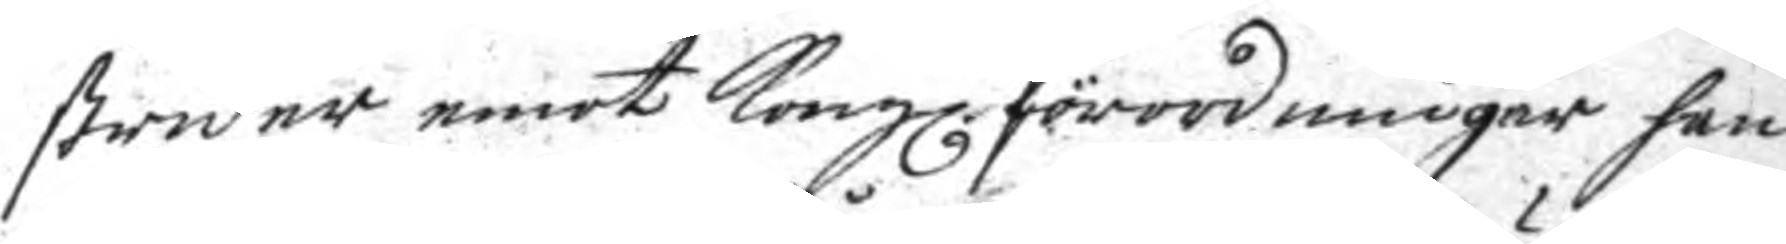strider emot Kongl. förordningar han
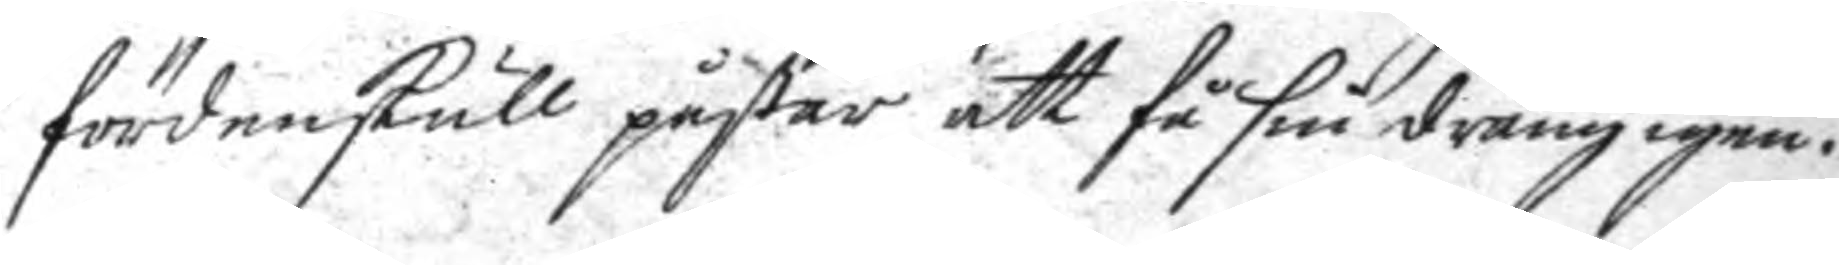fördenskull påstår att få sin dräng igen.
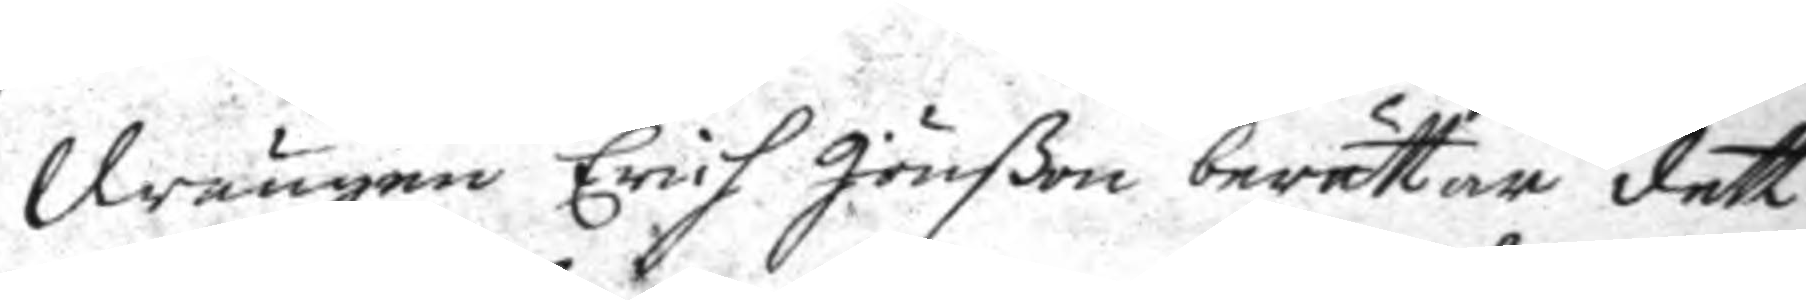Drängen Erich Jönßon berättar dett
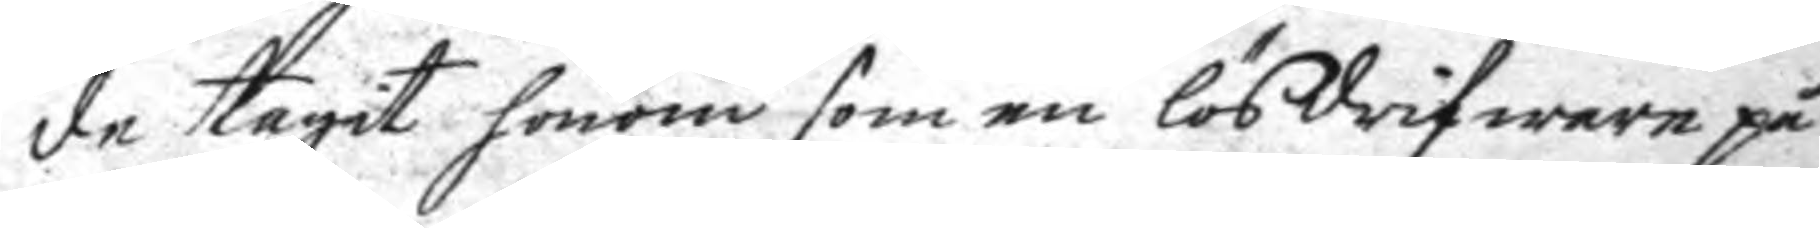de tagit honom som en lösdrifware på
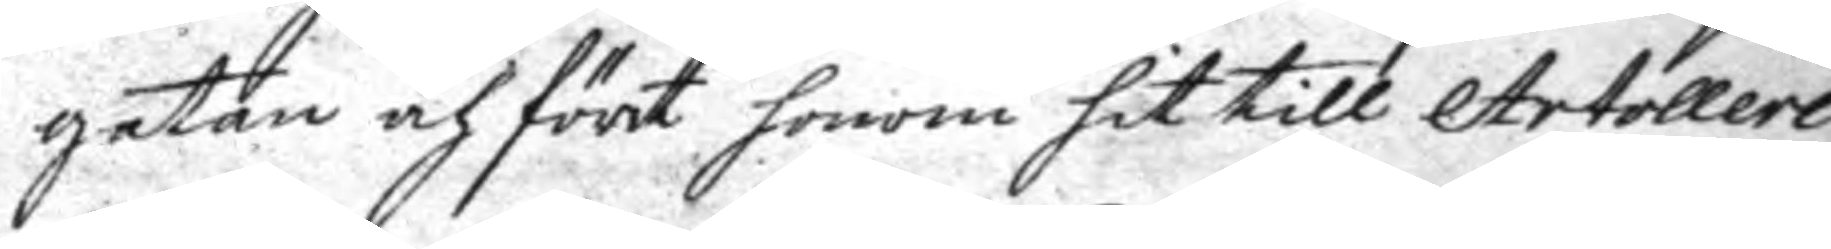gatan och fört honom hit till Artolleri
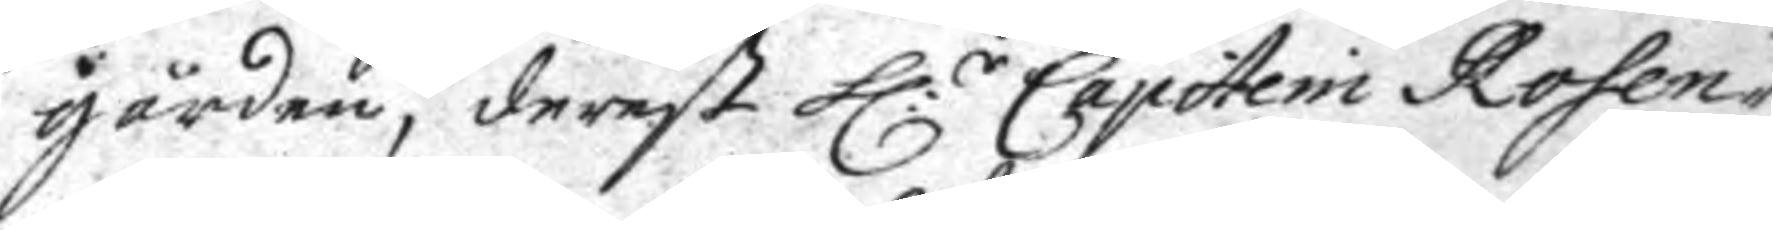gården, derest h:r Capitein Rosen¬
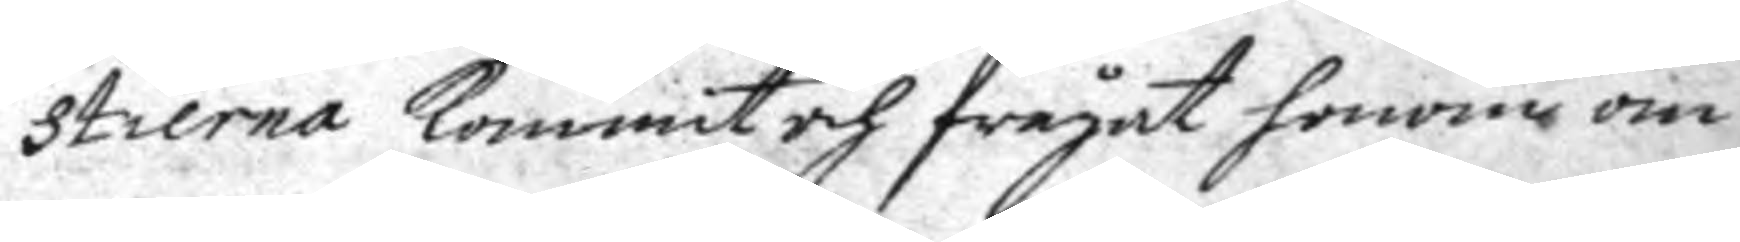stierna kommit och frågat honom om
